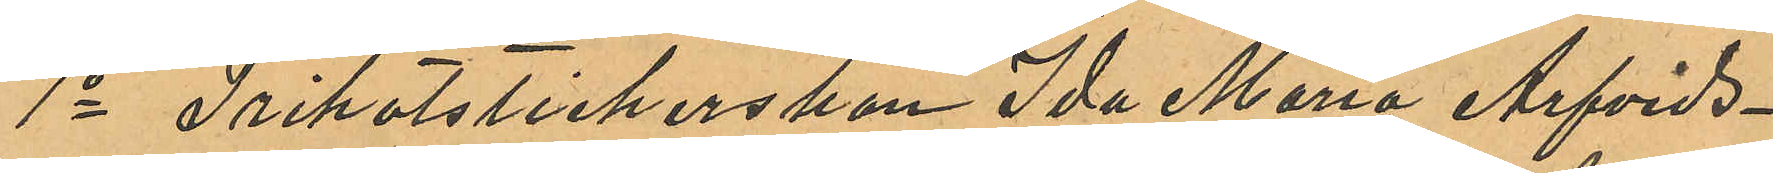1o Trikotstickerskan Ida Maria Arfvids¬
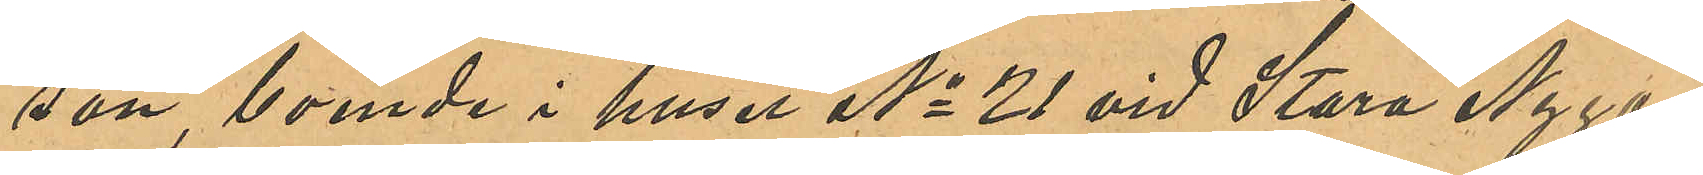son, boende i huset No 21 vid Stora Nyga¬
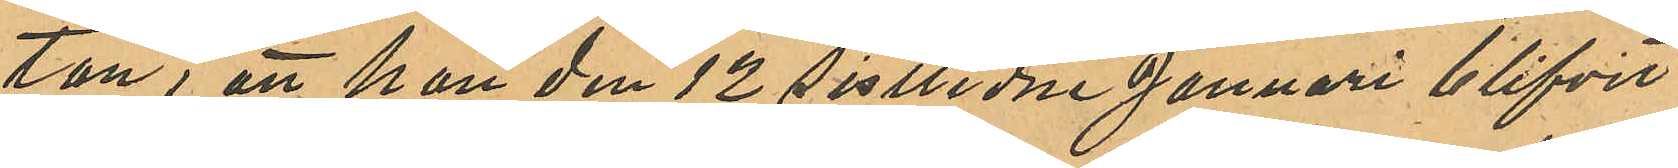tan, att hon den 12 sistlidne Januari blifvit
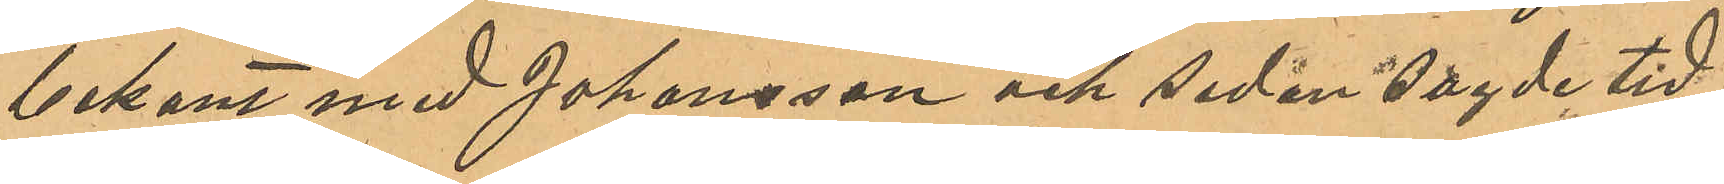bekant med Johansson och sedan sagde tid
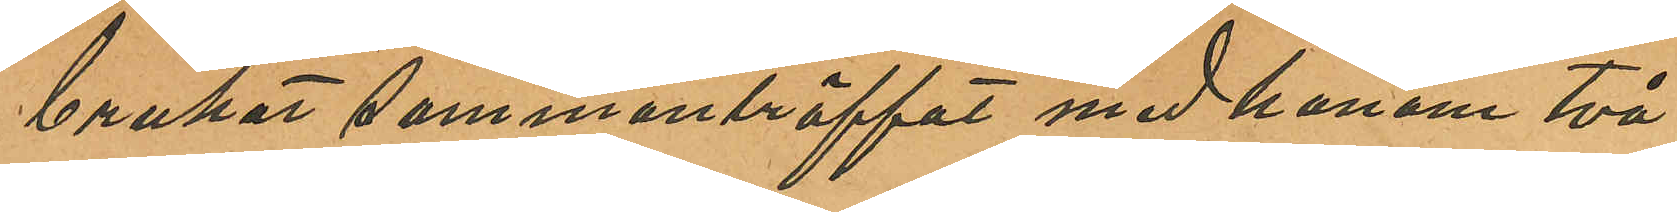brukat sammanträffat med honom två
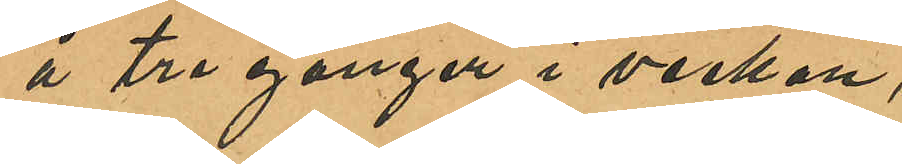å tre gånger i veckan,
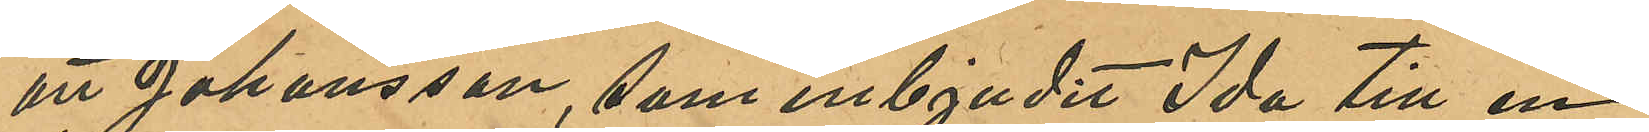att Johansson, som inbjudit Ida till en
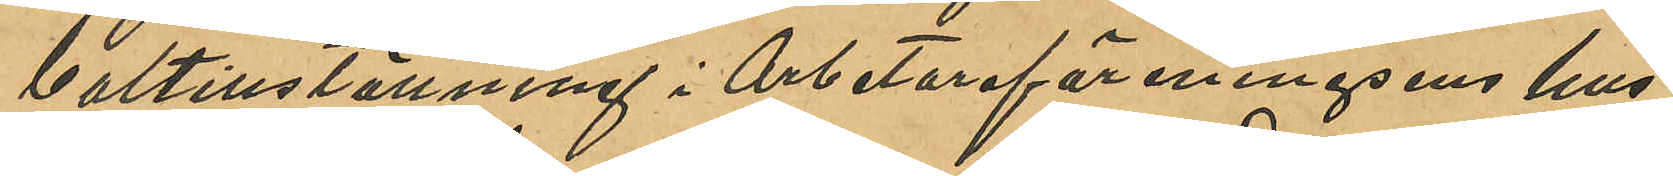baltillställning i Arbetareföreningsens hus
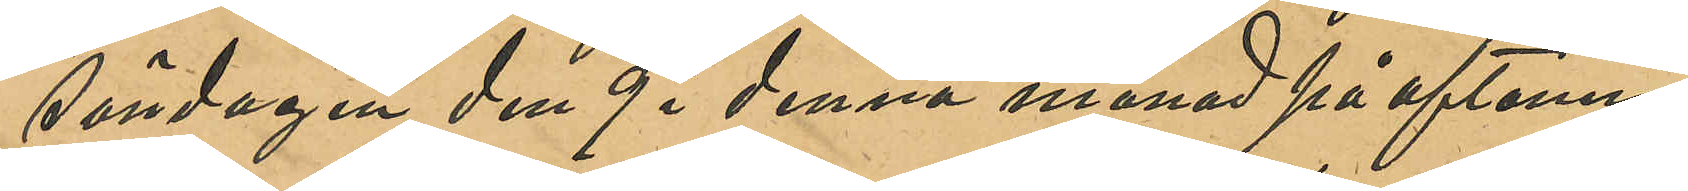söndagen den 9 i denna månad på aftonen,
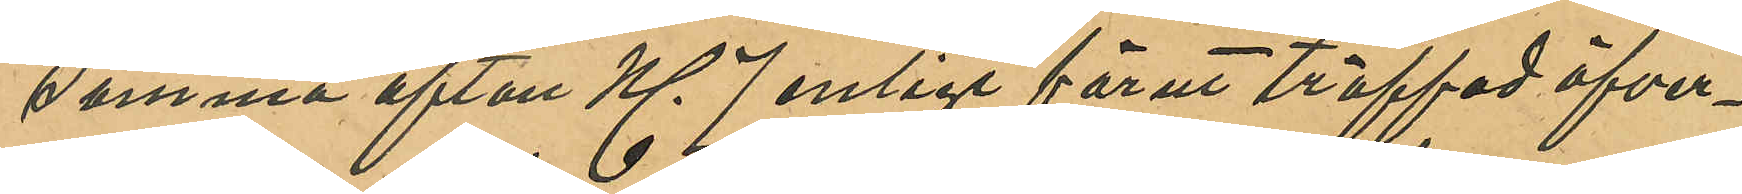samma afton Kl 7 enligt förut träffad öfver¬
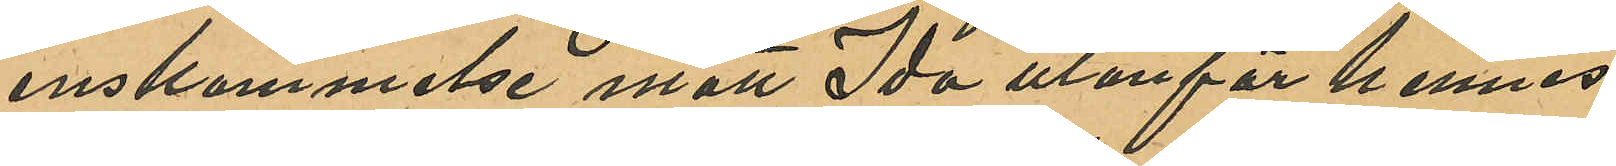enskommelse mött Ida utanför hennes
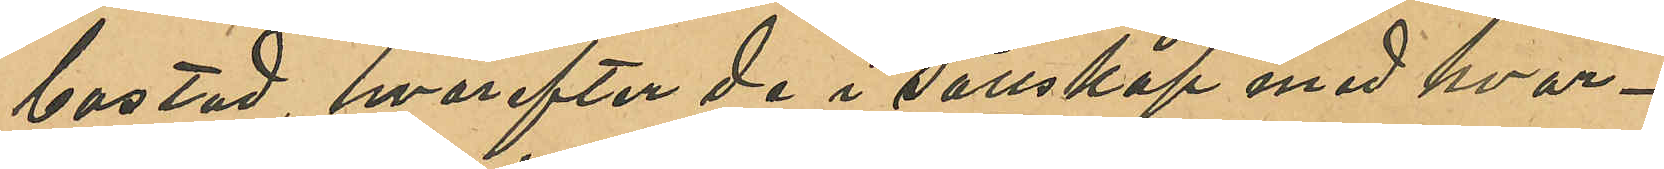bostad, hvarefter de i sällskap med hvar¬
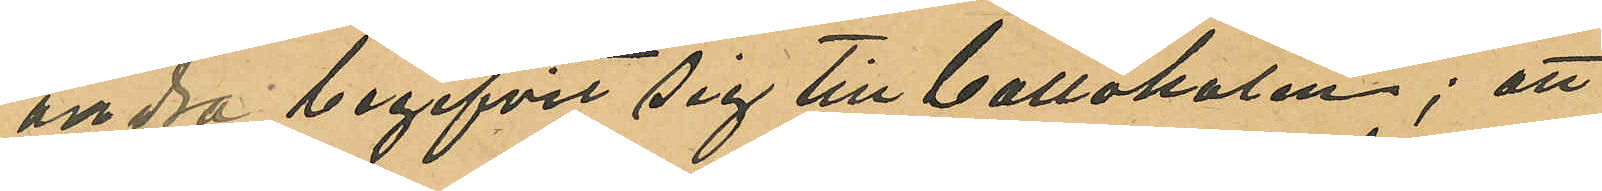andra begifvit sig till ballokalen; att
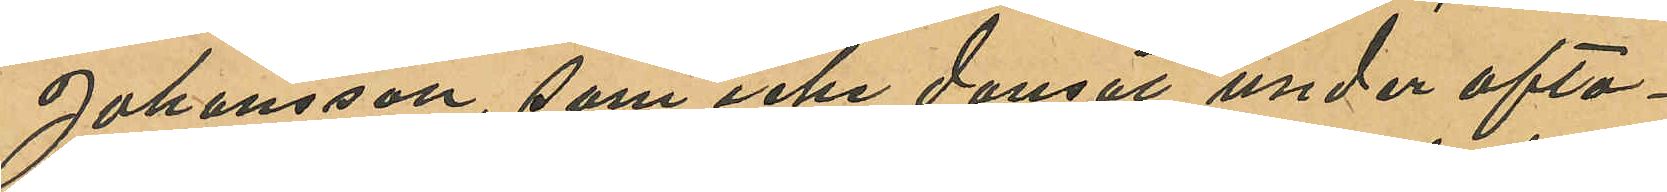Johansson, som icke dansat under afto¬
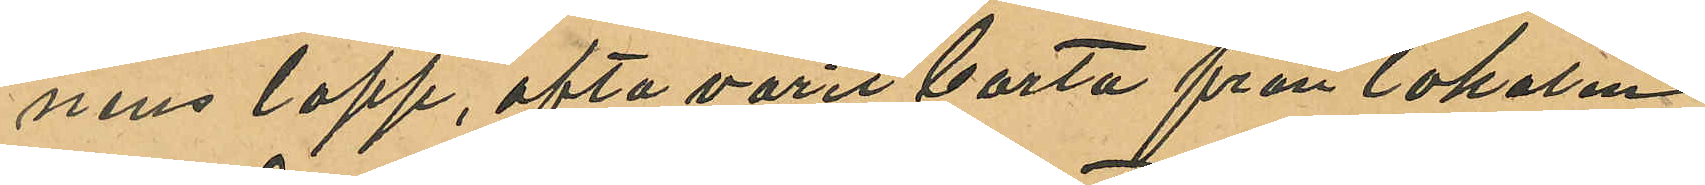nens lopp, ofta varit borta från lokalen
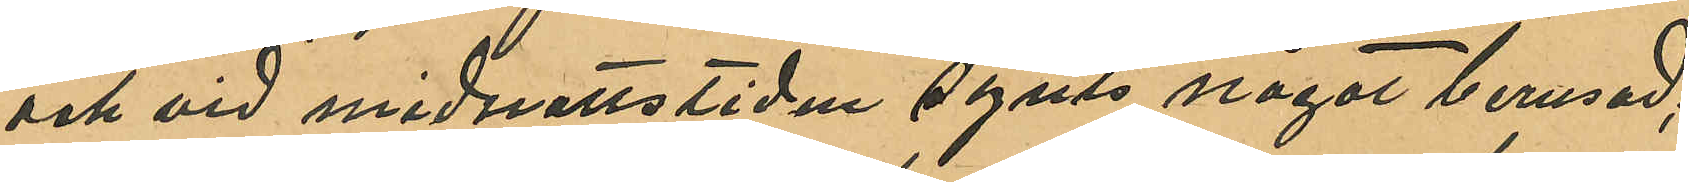och vid midnattstiden synts något berusad;
